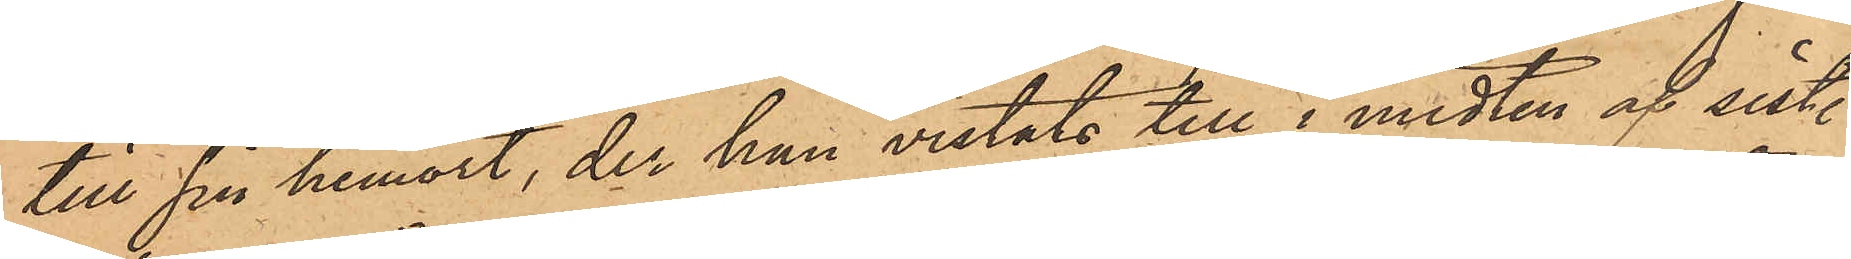till sin hemort, der han vistats till i midten af sist.
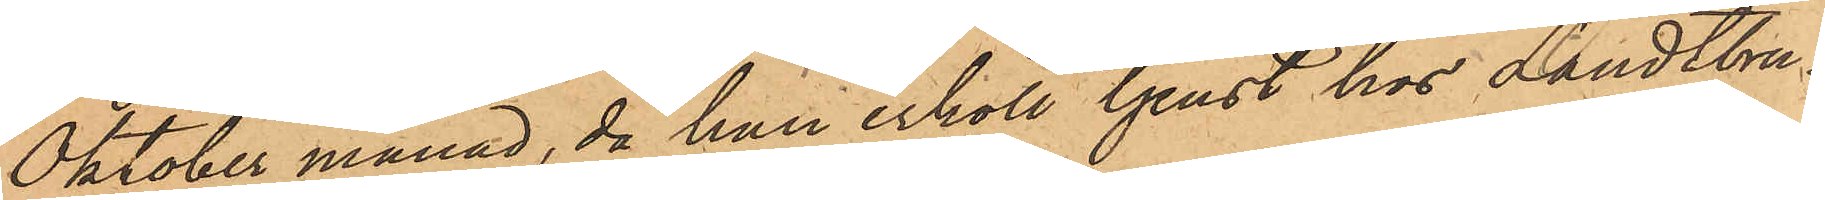Oktober månad, då han erhöll tjenst hos Landtbru¬
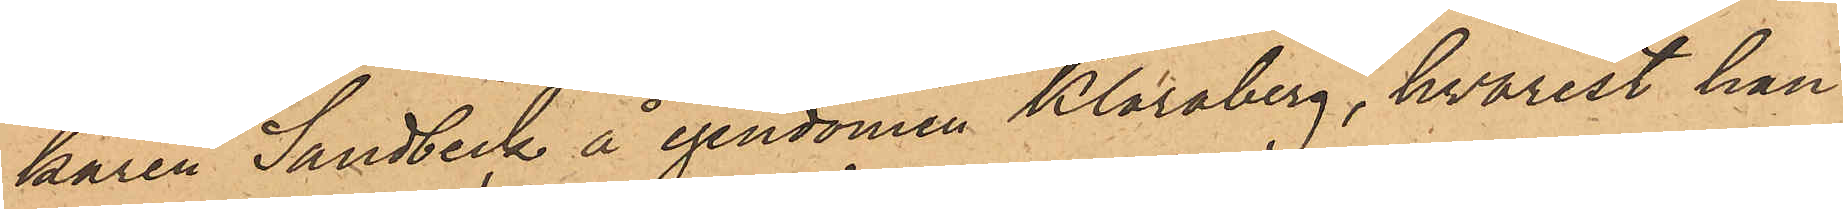karen Sandbeck å egendomen Klaraberg, hvarest han
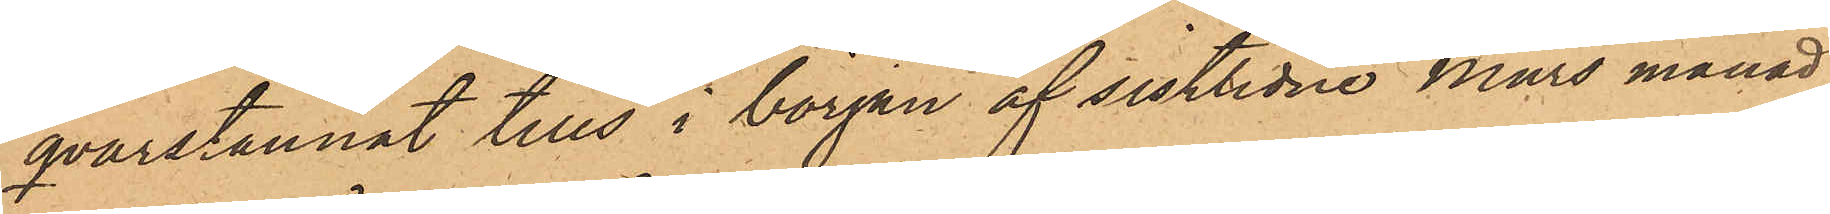qvarstannat tills i början af sistlidne Mars månad,
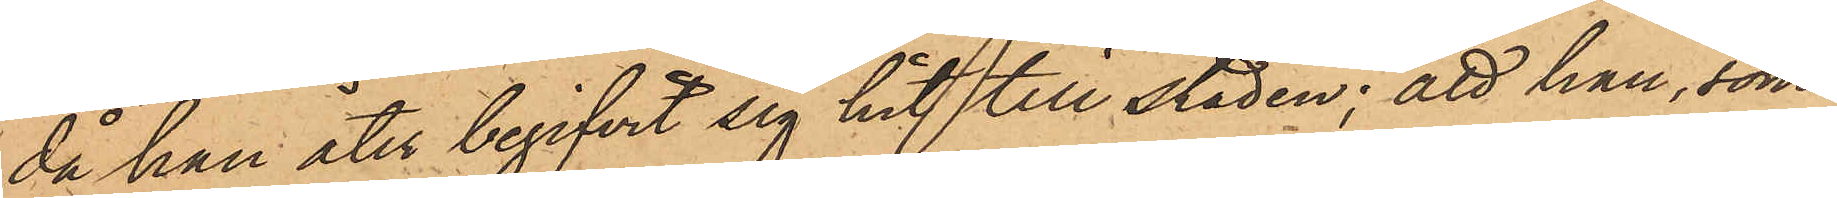då han åter begifvit sig hit till staden; att han, som
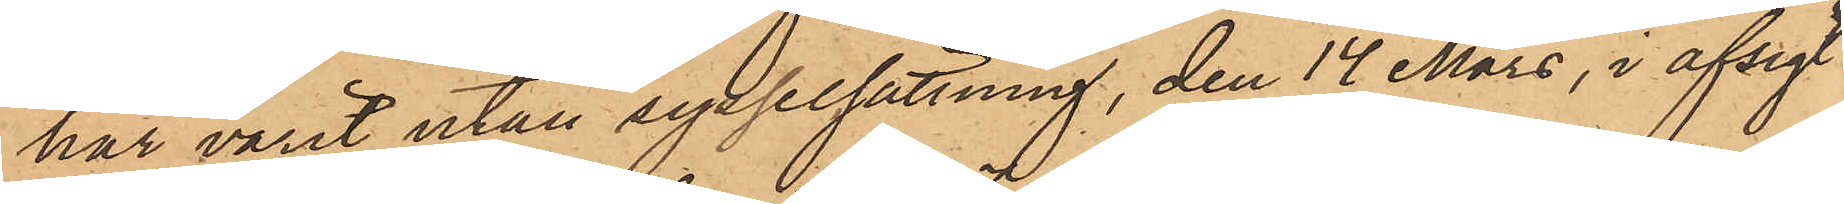har varit utan sysselsättning, den 14 Mars, i afsigt
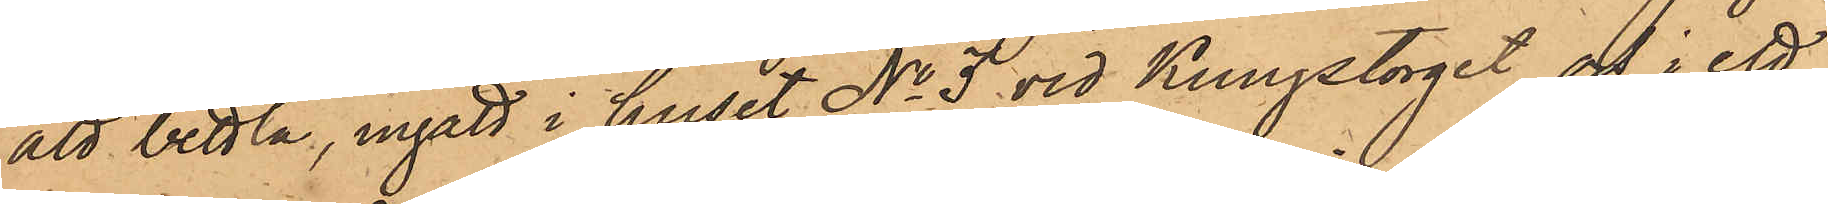att bettla, ingått i huset No 3 vid Kungstorget och i ett
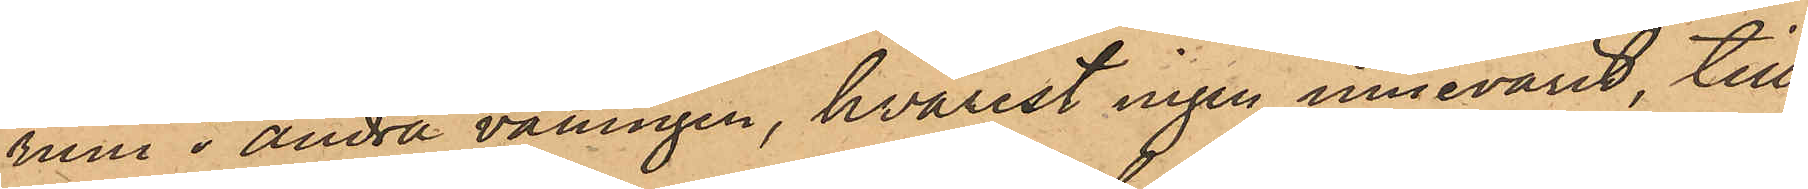rum i andra våningen, hvarest ingen innevarit, till¬
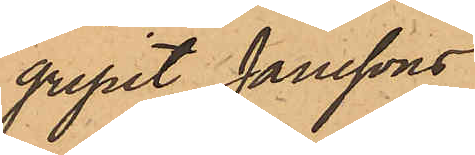gripit Janssons
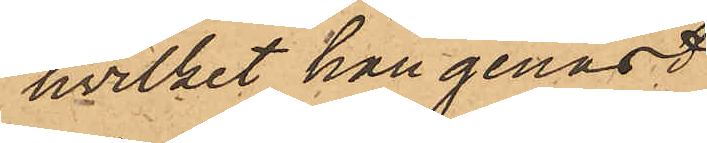hvilket han genast
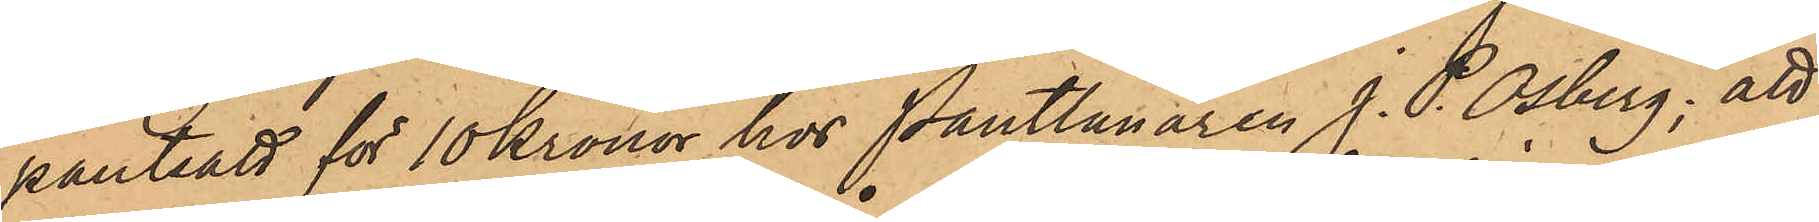pantsatt för 10 Kronor hos Pantlånaren J. P. Osberg; att
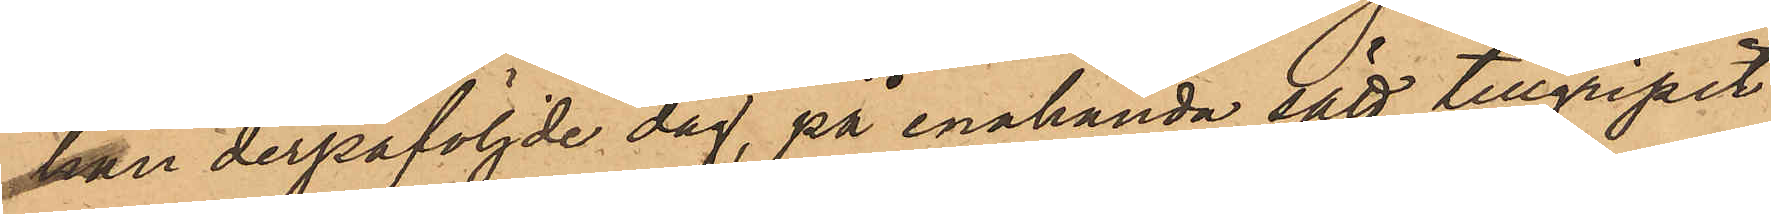han derpåföljde dag, på enahanda sätt tillgripit
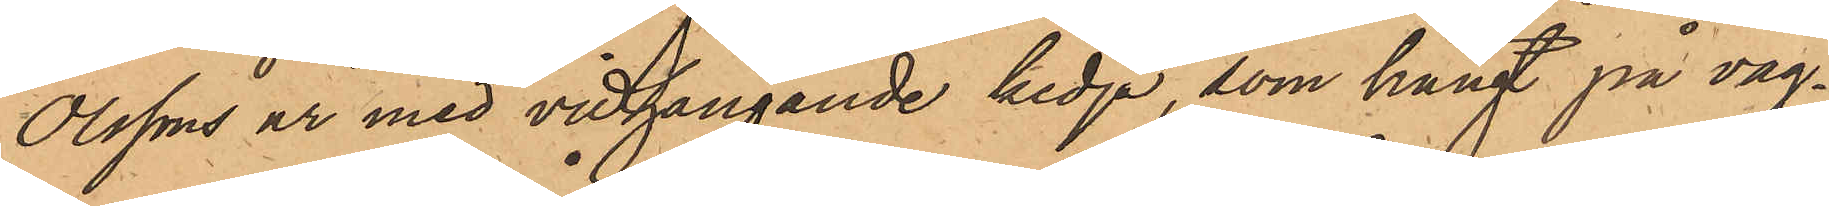Olssons ur med vidhängande kedja, som hängt på väg¬
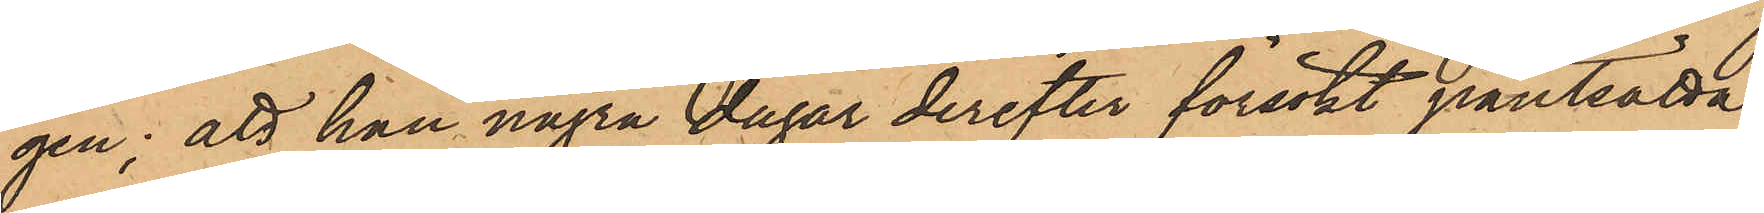gen; att han några dagar derefter försökt pantsätta
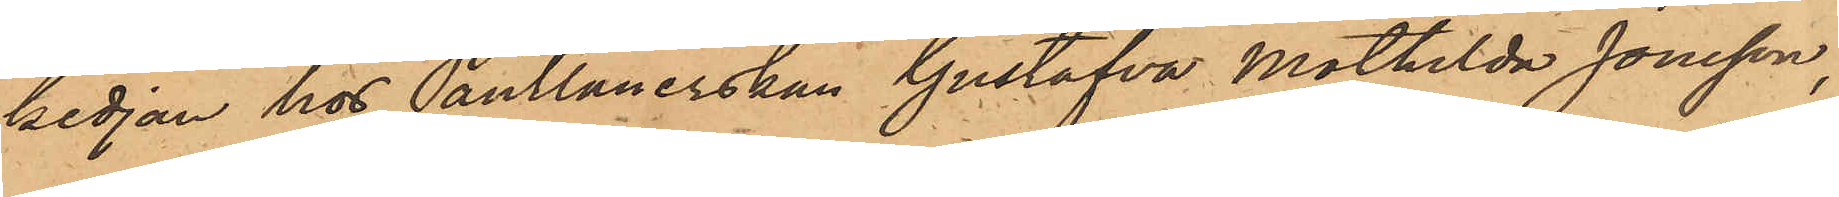kedjan hos Pantlånerskan Gustafva Mathilda Jonsson,
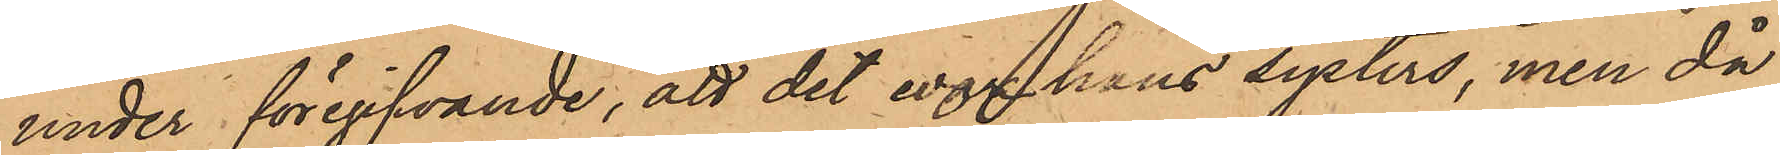under föregifvande, att det var hans systers, men då
